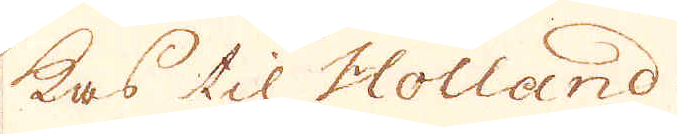ckas til Holland.
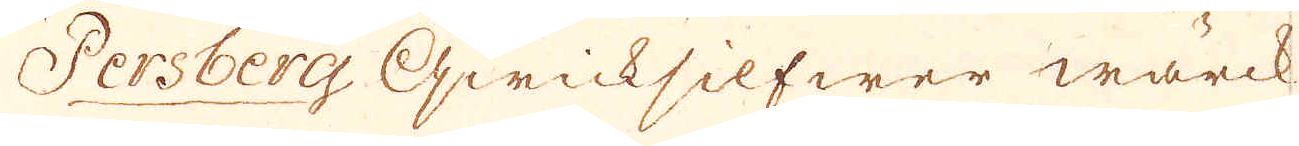Persberg qwicksilfwer wärck
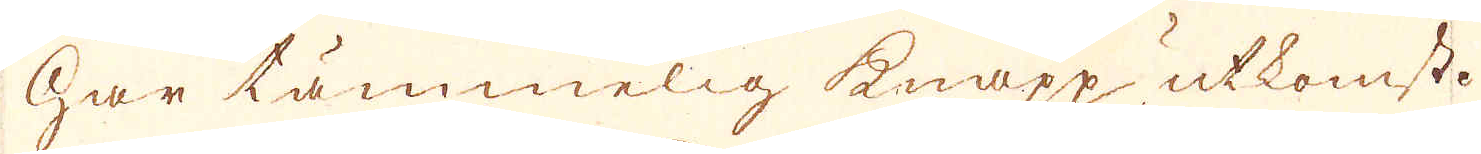har tämmelig knapp utkomst.
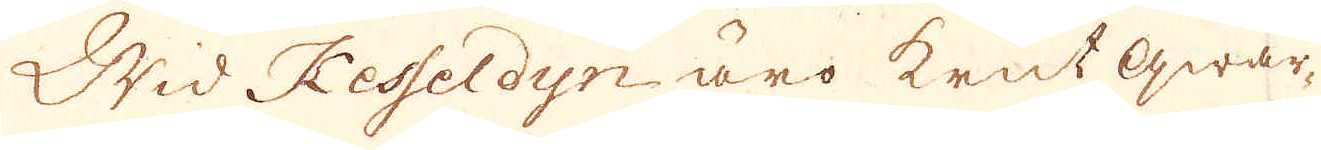Wid Kesseldyn äro krut qwar-
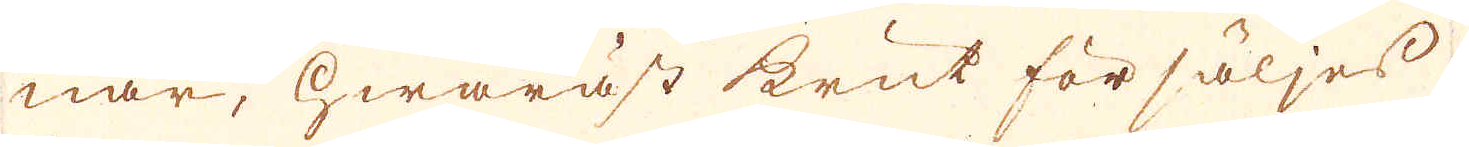nar, hwaräst krut försäljes
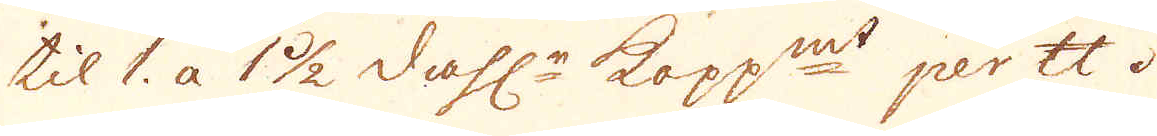til 1. a 1 1/2 dahl:r kopp:mt per skålpund.
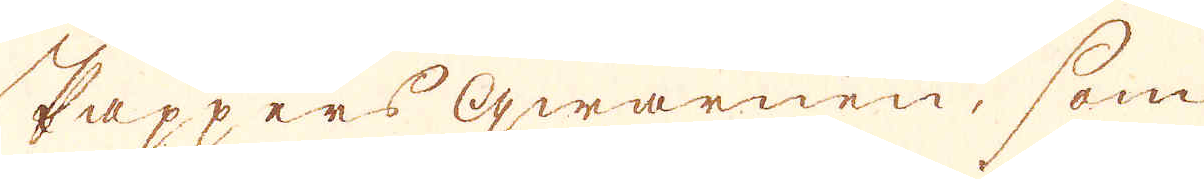Pappers qwarnen, som
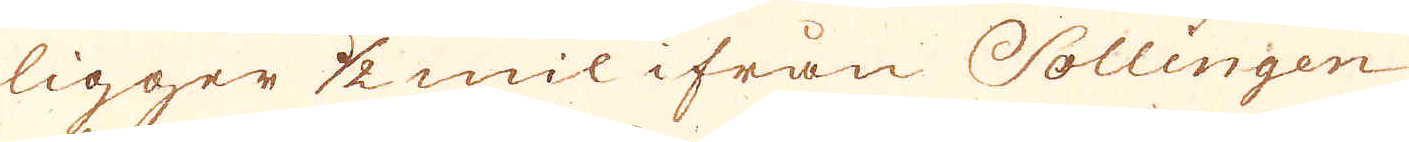ligger 1/2 mil ifrån Sollingen
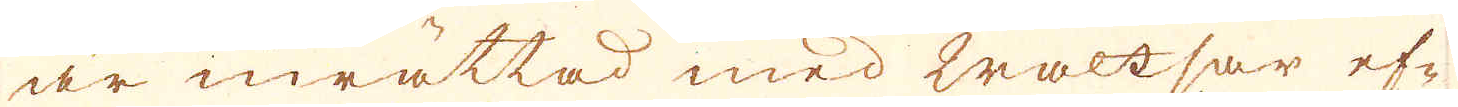är inrättad med waltsar ef-
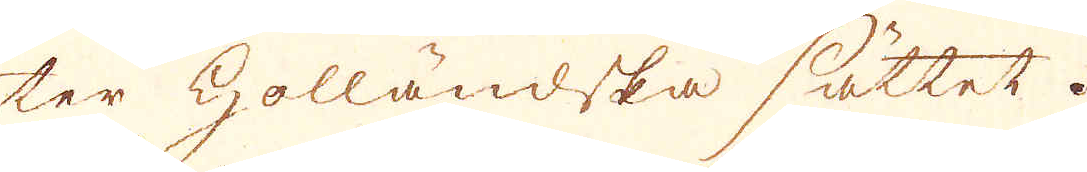ter Holländska sättet.
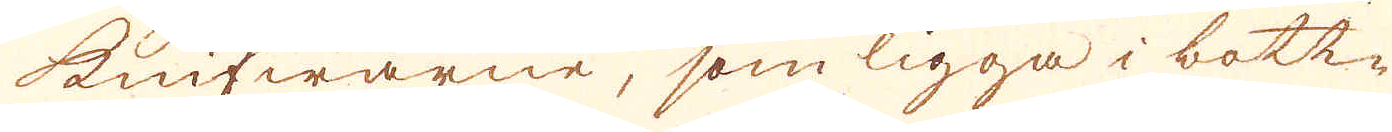knifwarne, som ligga i bott-
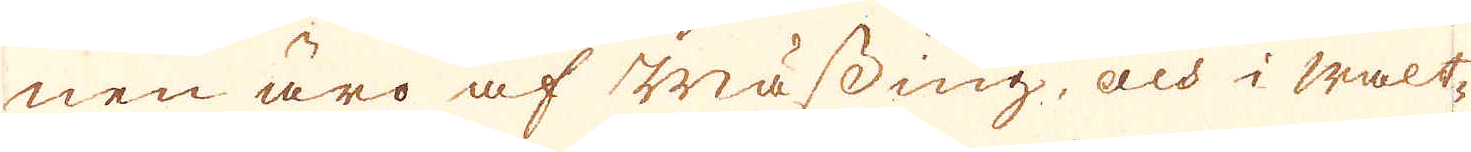nen äro af Mässing, och i walt-
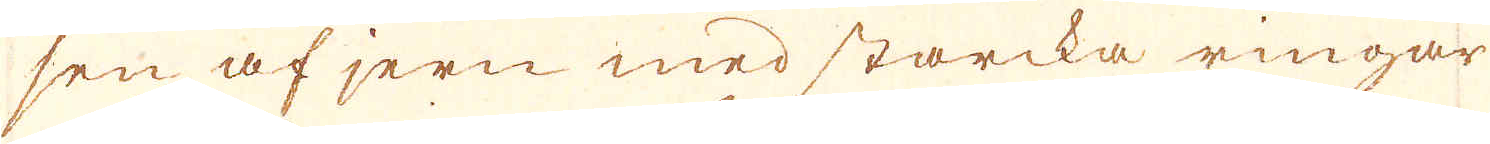sen af jern med starcka ringar
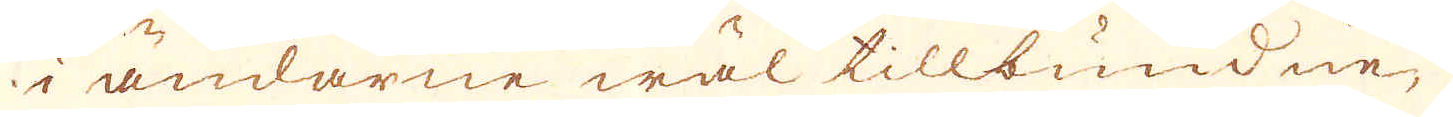i ändarne wäl tillbundne,
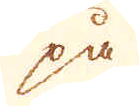på
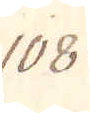108.
